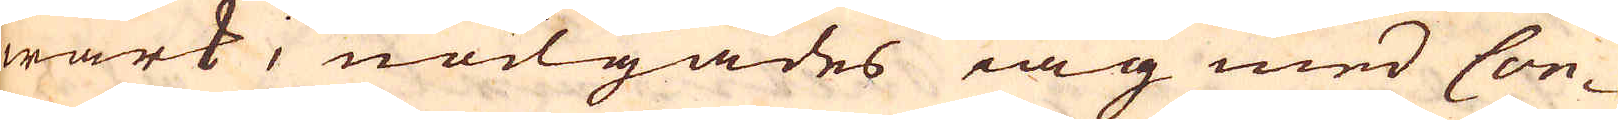wärk, nödgades iag med Con-
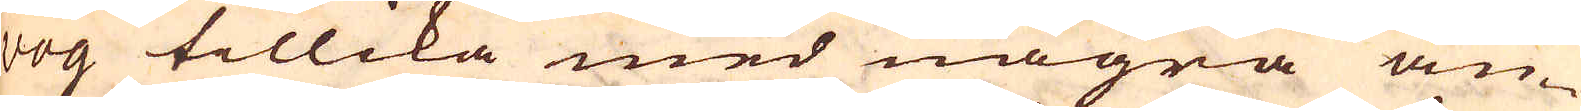voy tillika med några an-
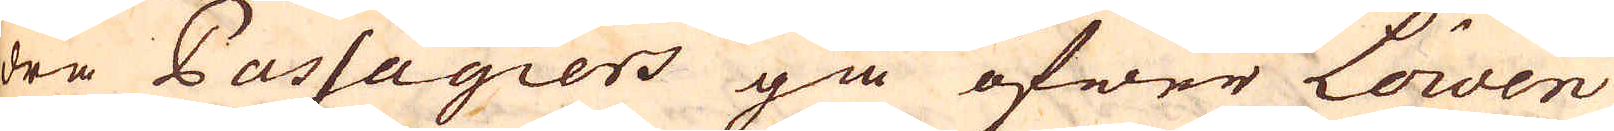dra Passagiers gå öfwer Loiven
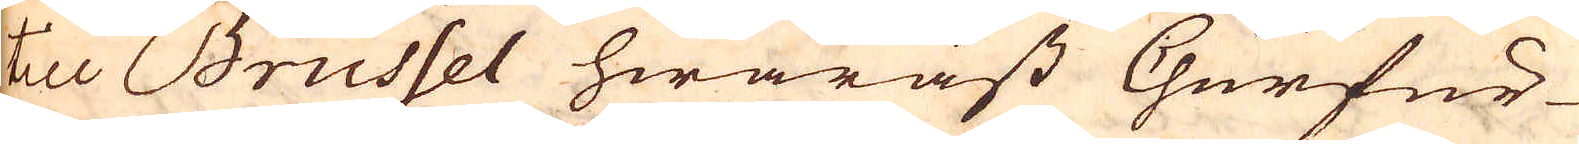till Brussel hwaräst Churfur-
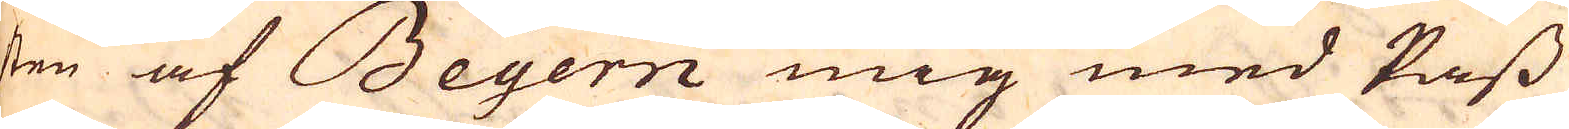sten af Beyern mig med Pass
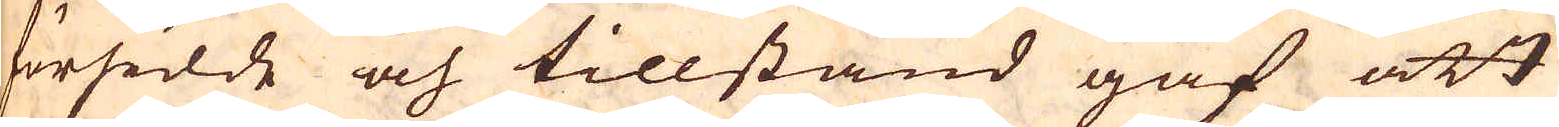försidde och tillstånd gaf att
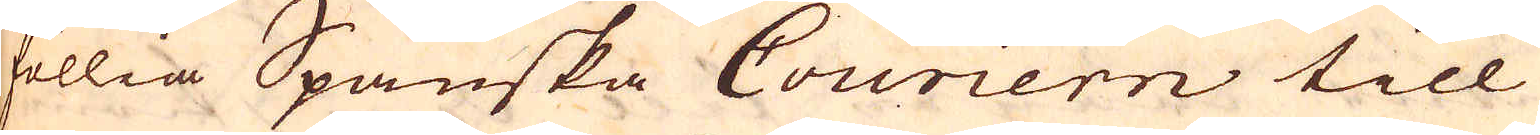föllia Spanska Couriern till
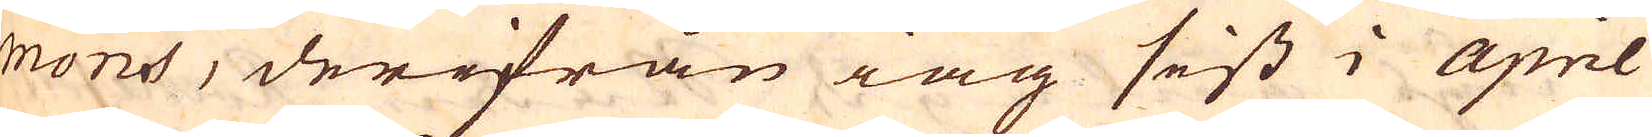mons, derifrån iag sist i april
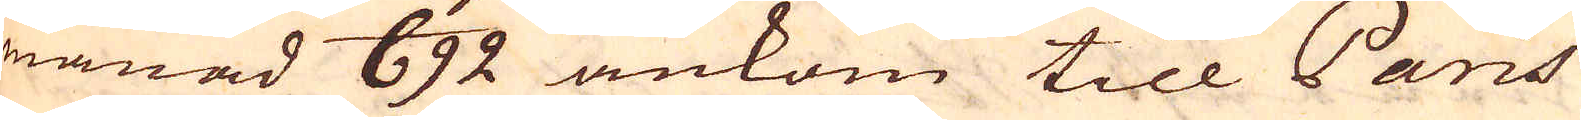månad 692 ankom till Paris
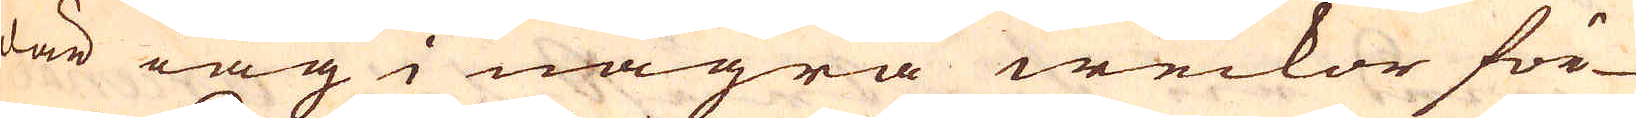där iag i några weckor för-
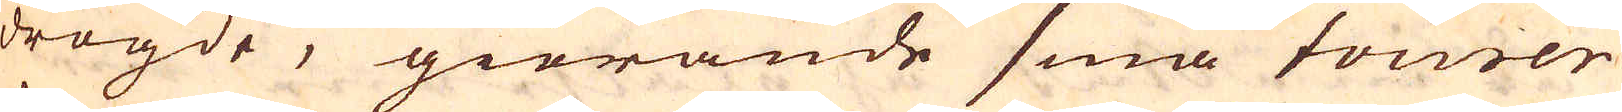drögde, giörande små tourer
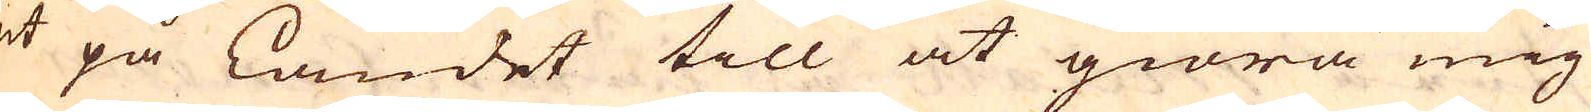ut på Landet till at giöra mig
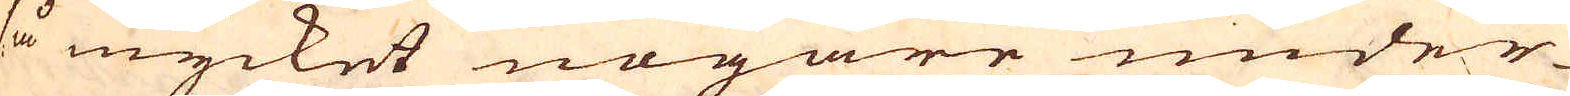så mycket nogare under-
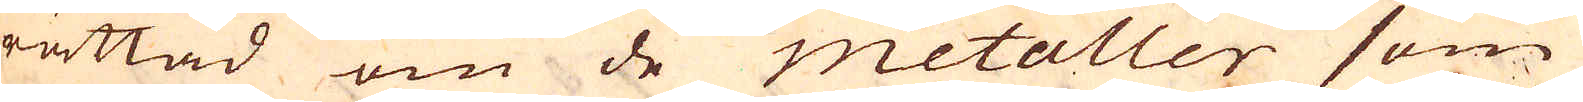rättad om de metaller som
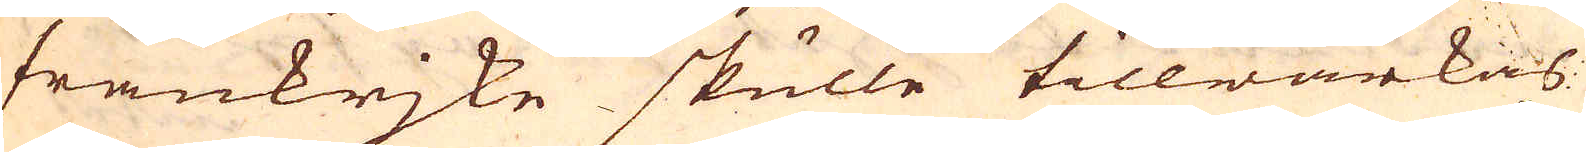frankrjke skulle tillwärkas
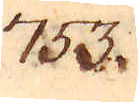753.
